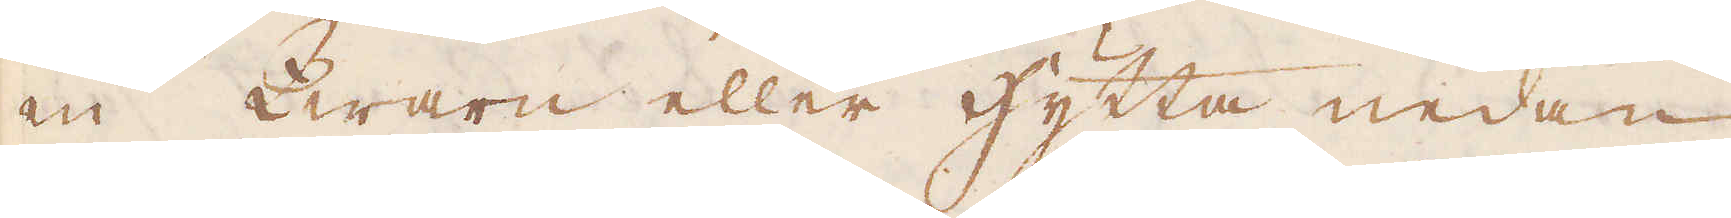en Qwarn eller Hytta nedan
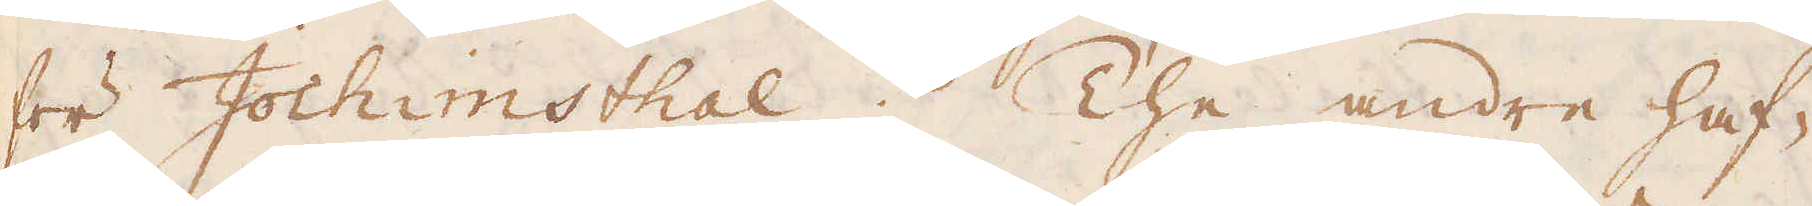för Jochimsthal. The andre haf-
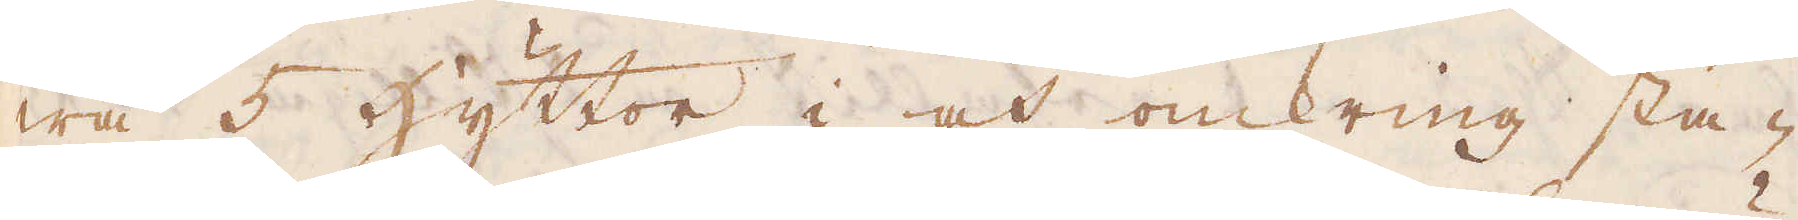wa 5 Hyttor i och omkring sta-
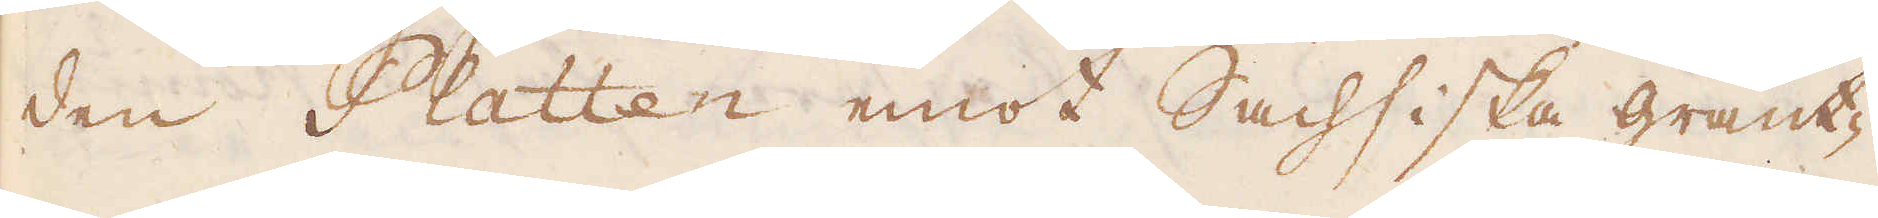den Platten emot Sachsiska gränt-
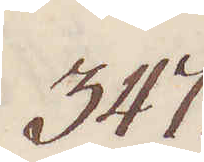347.
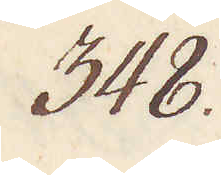348.
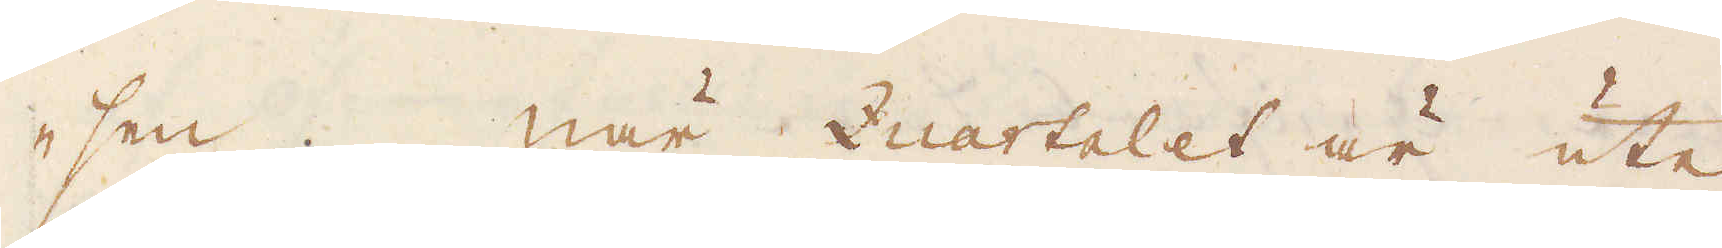-sen. När Quartalet är ute,
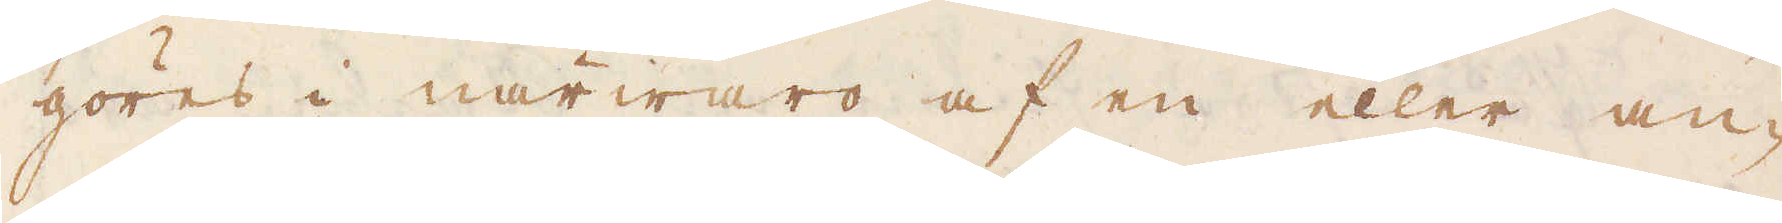göres i närwaro af en eller an-
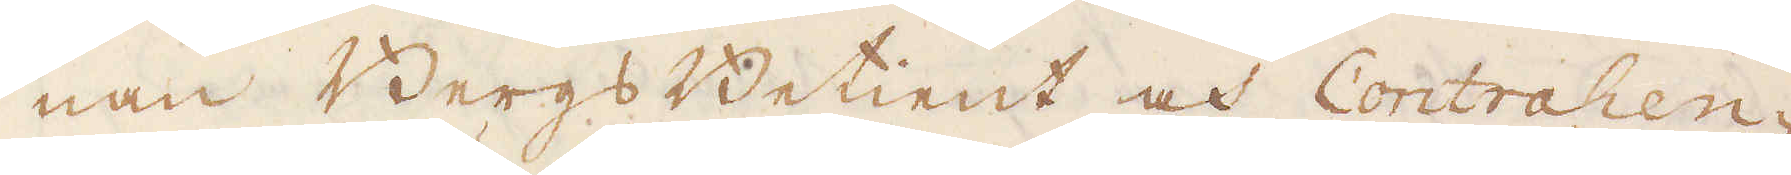nan Bergs Betient och Contrahen-
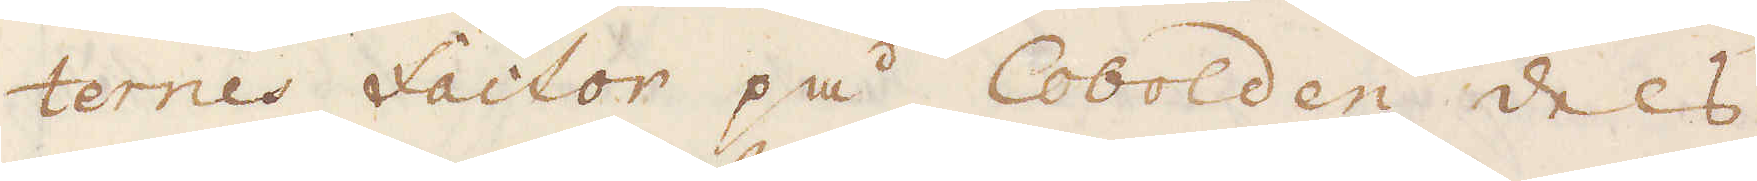ternes Factor på Cobolden dels
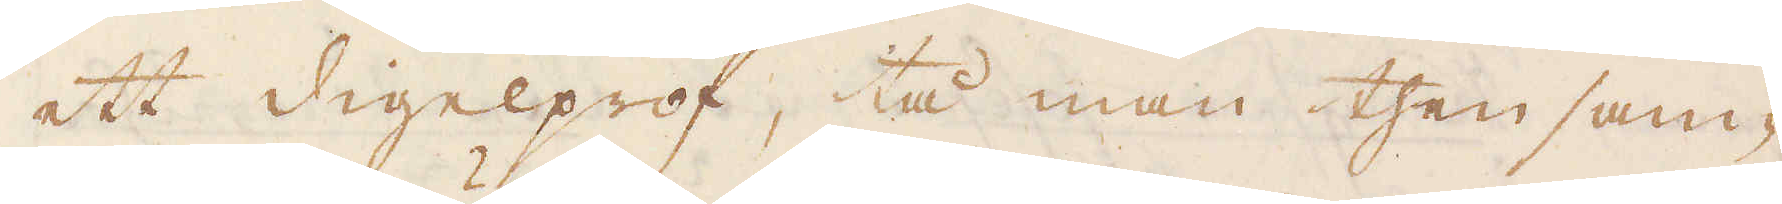ett digelprof, tå man then sam-
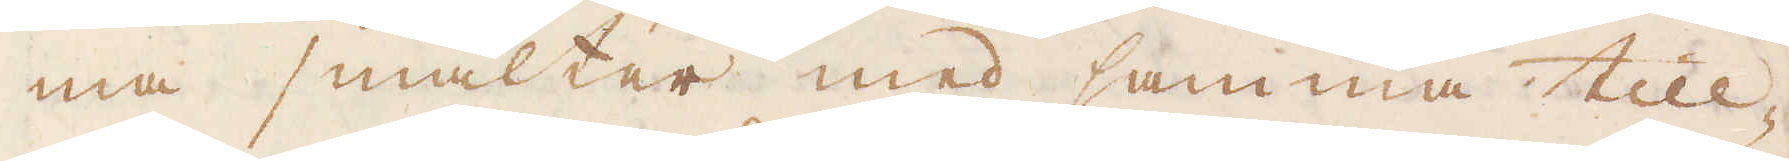ma smälter med samma till-
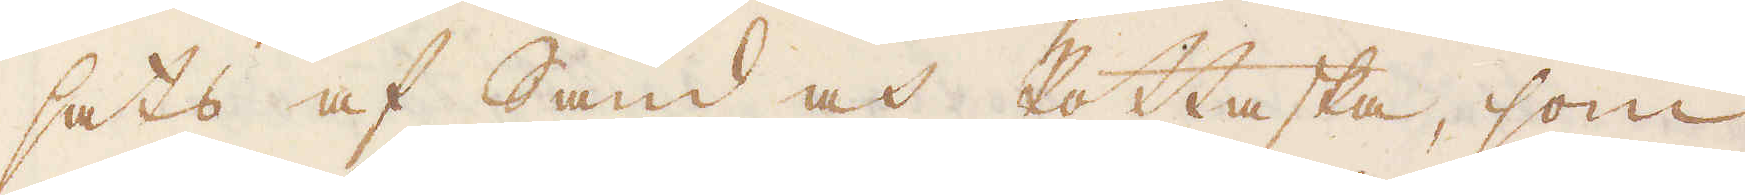sats af Sand och Pottaska, som
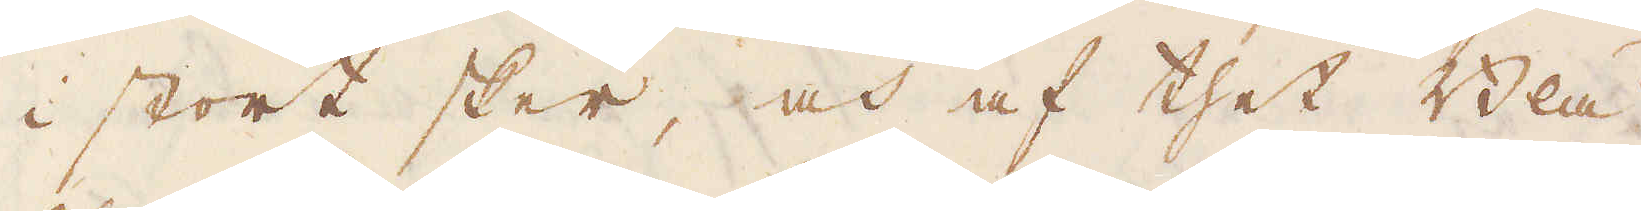i stort sker, och af thet Blå
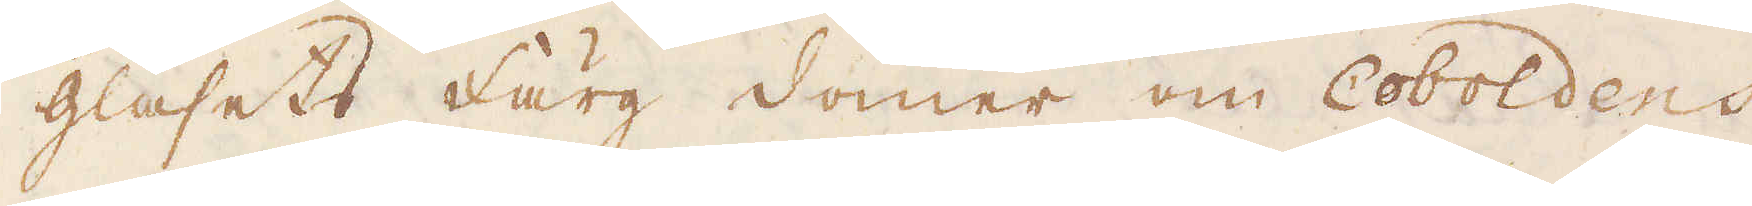glasets Färg dömer om Coboldens
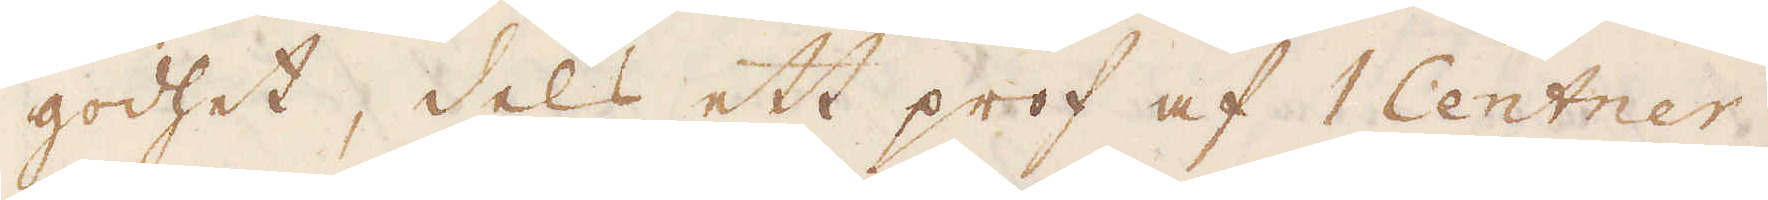godhet, dels ett prof af 1 Centner
